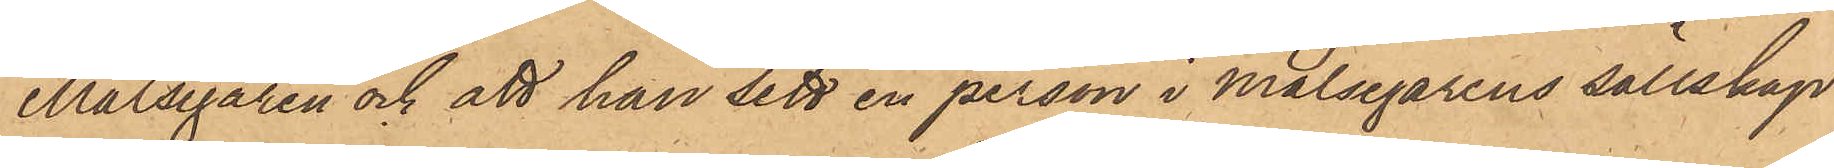Målsegaren och att han sett en person i Målsegarens sällskap
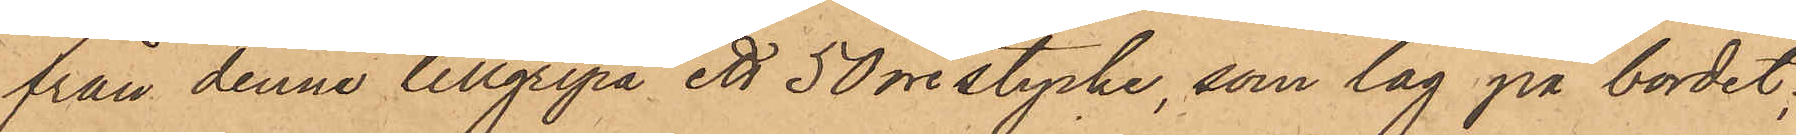från denne tillgripa ett 50 öre stycke, som låg på bordet;
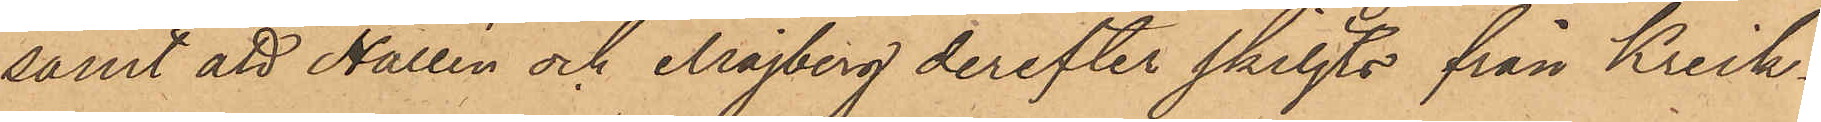samt att Hallén och Majberg derefter skiljts från Krick¬
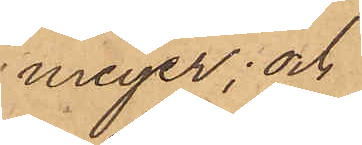meyer; och
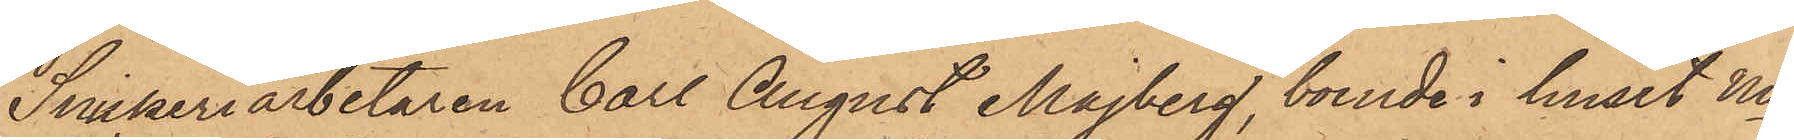Snickeriarbetaren Carl August Majberg, boende i huset No
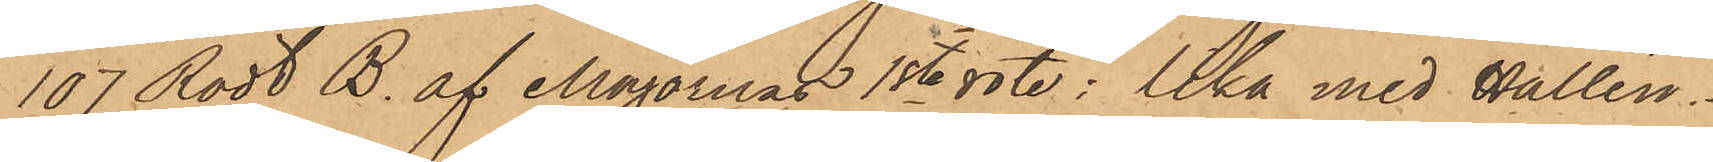107 Rödt B. af Majornas 1ste rote: lika med Hallén.
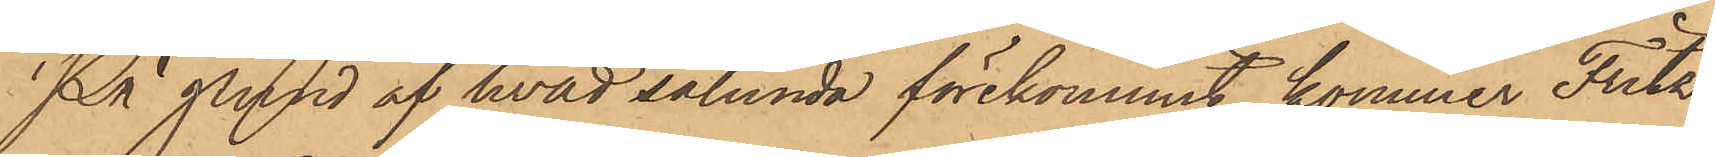På grund af hvad sålunda förekommit, kommer Fritz
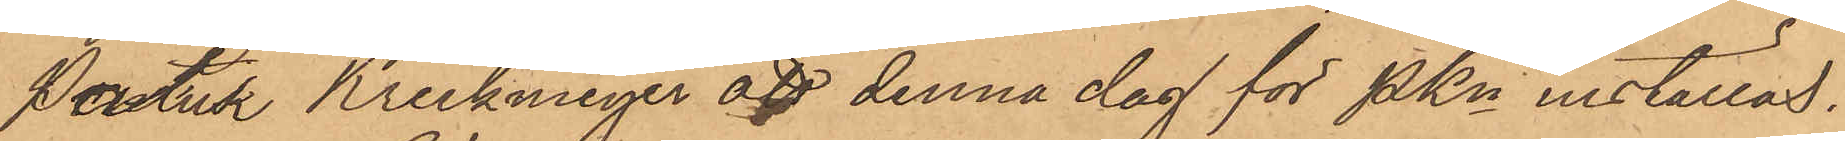Patrik Krickmeyer att denna dag för PKn inställas.
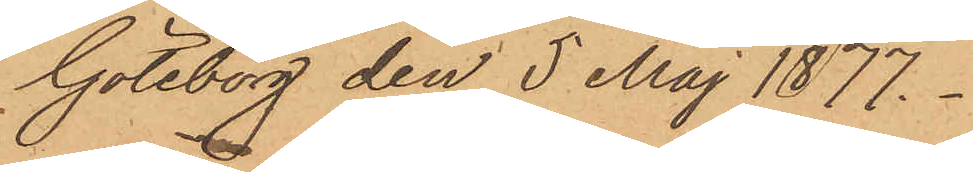Göteborg den 5 Maj 1877.
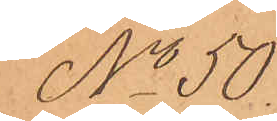No 50.
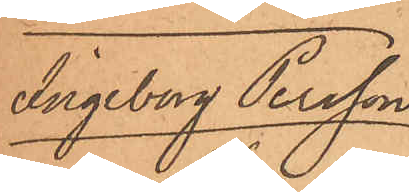Ingeborg Persson
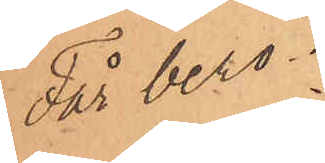Får bero
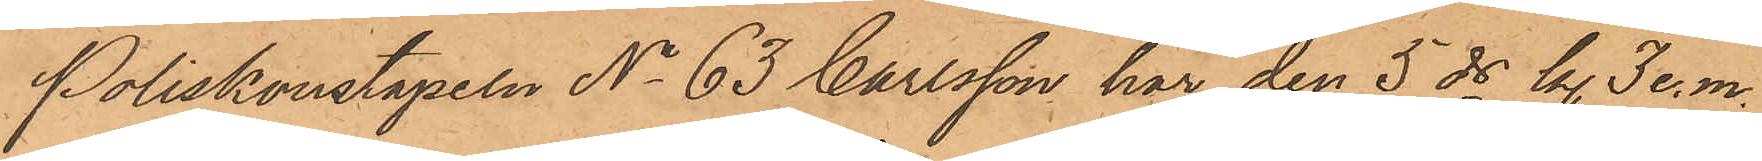Poliskonstapeln No 63 Carlsson har den 5 ds kl. 3 e.m.
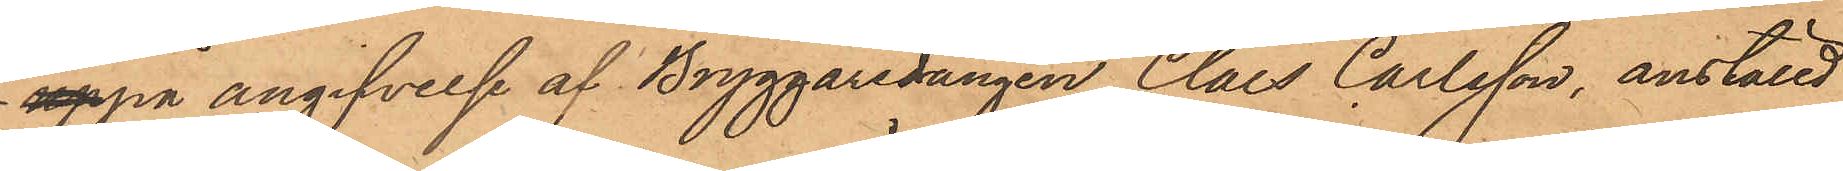på angifvelse af Bryggaredrängen Claes Carlsson, anställd
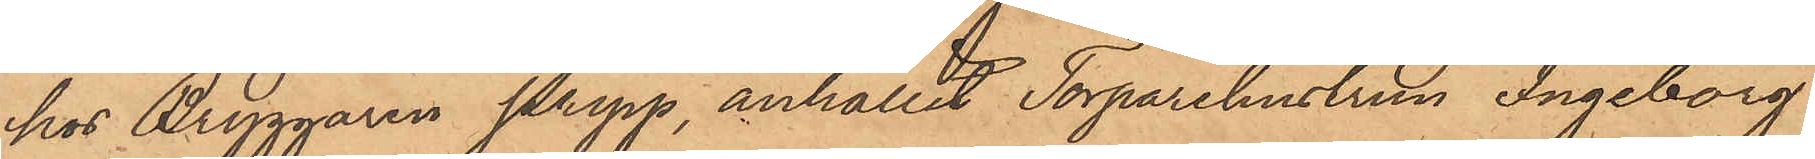hos Bryggaren Pripp, anhållit Torparehustrun Ingeborg
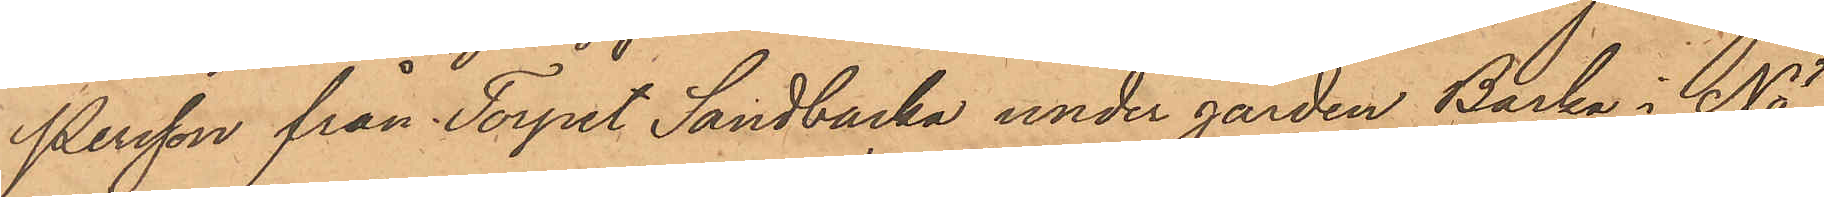Persson från Torpet Sandbacka under gården Backa i Nö¬
